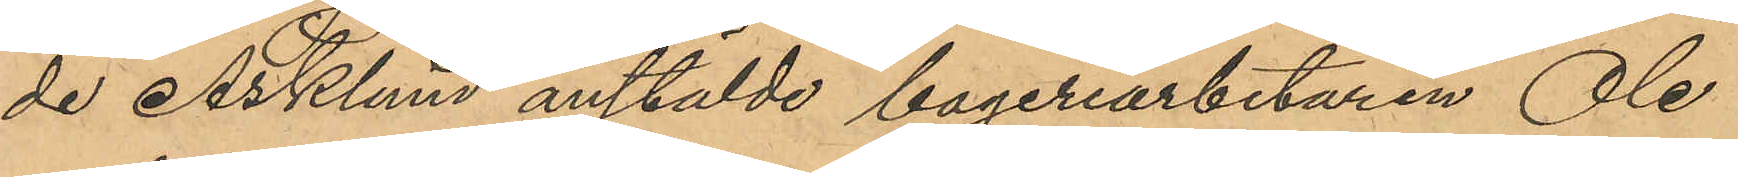de Asklund anstälde bageriarbetaren Ole
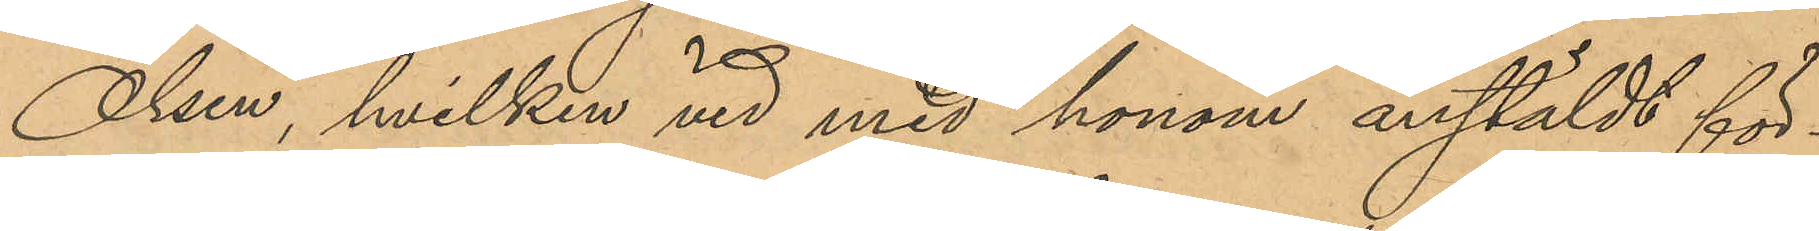Olsen, hvilken vid med honom anstäldt för¬
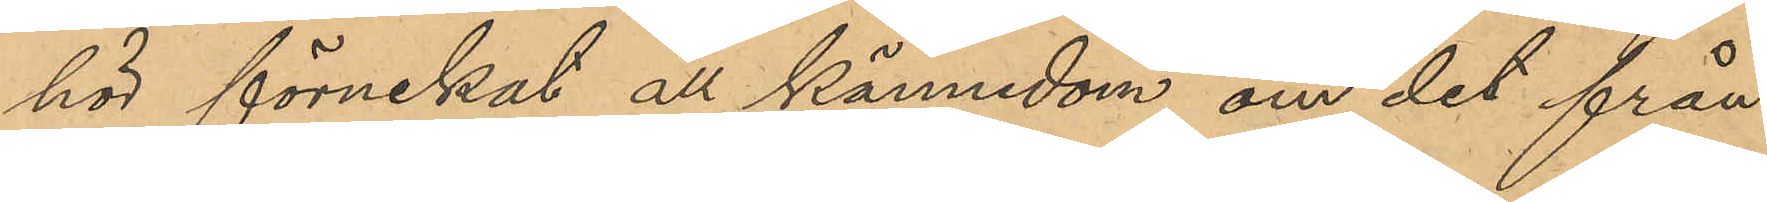hör förnekat all kännedom om det från
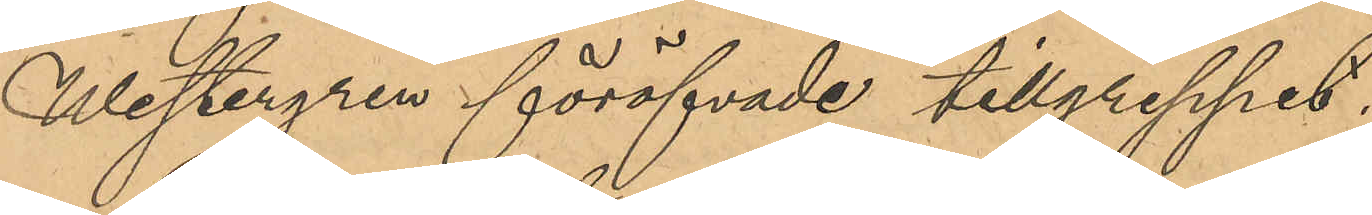Westergren föröfvade tillgreppet.
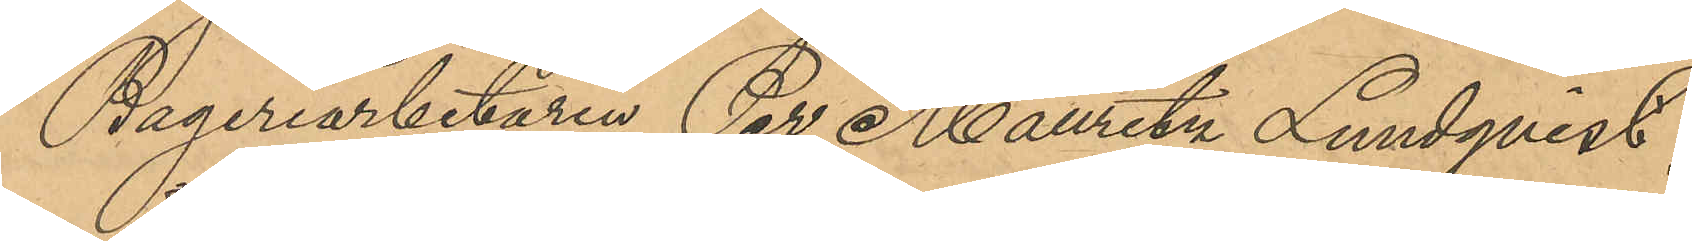Bageriarbetaren Per Mauritz Lundqvist,
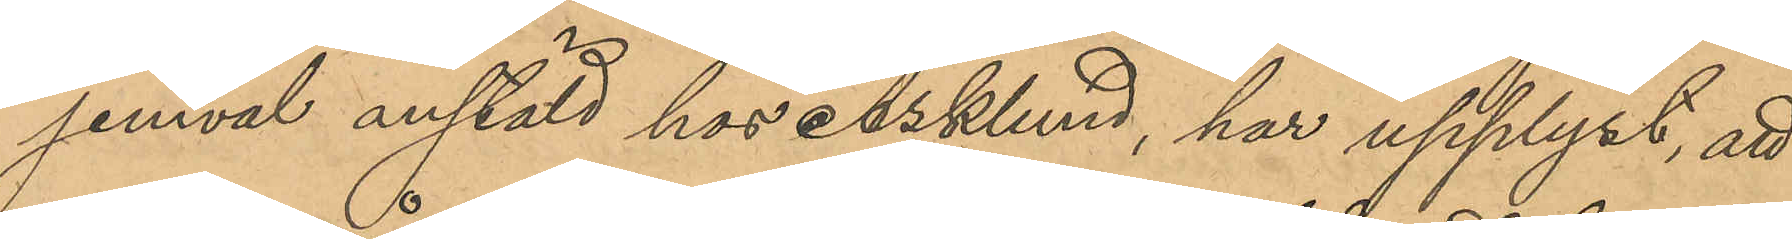jemväl anstäld hos Asklund, har upplyst, att
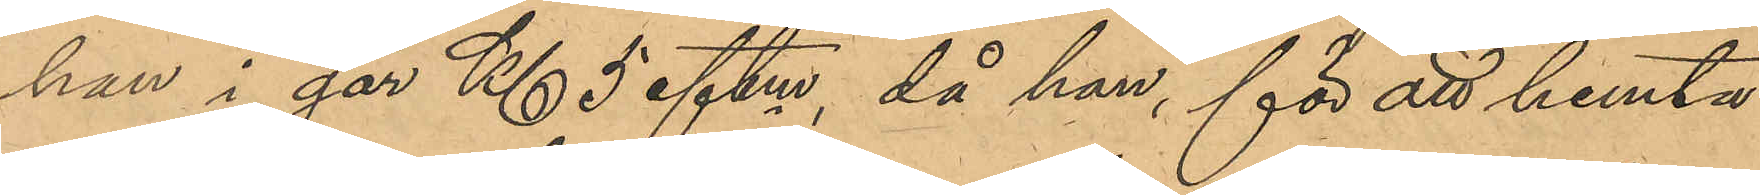han i går Kl 5 eftm, då han för att hemta
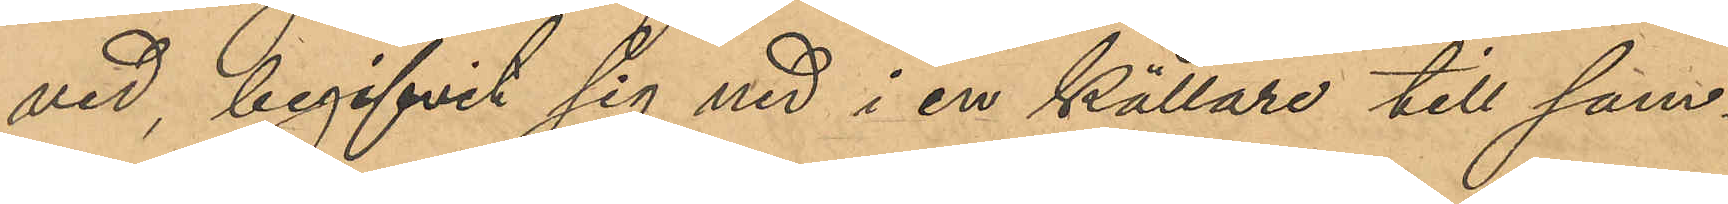ved, begifvit sig ned i en källare till sam¬
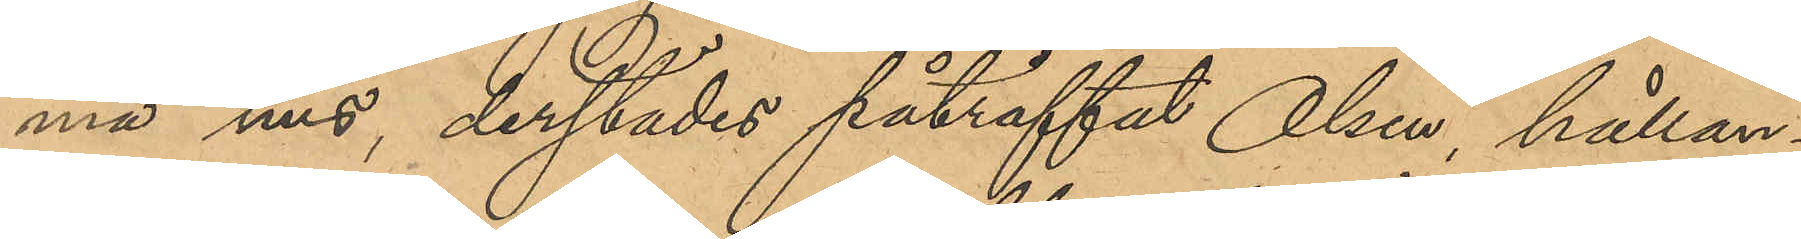ma hus, derstädes påträffat Olsen, hållan¬
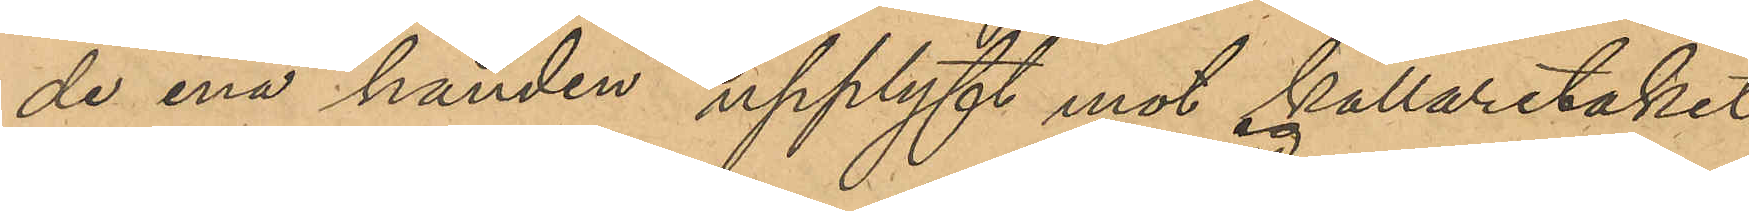de ena handen upplyft mot källartaket
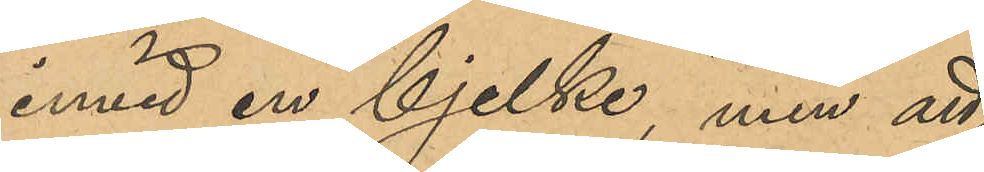invid en bjelke, men att
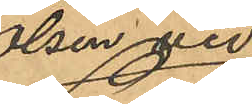Olsen vid
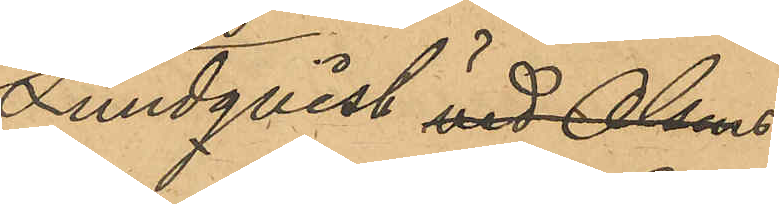Lundqvist vid Olsens
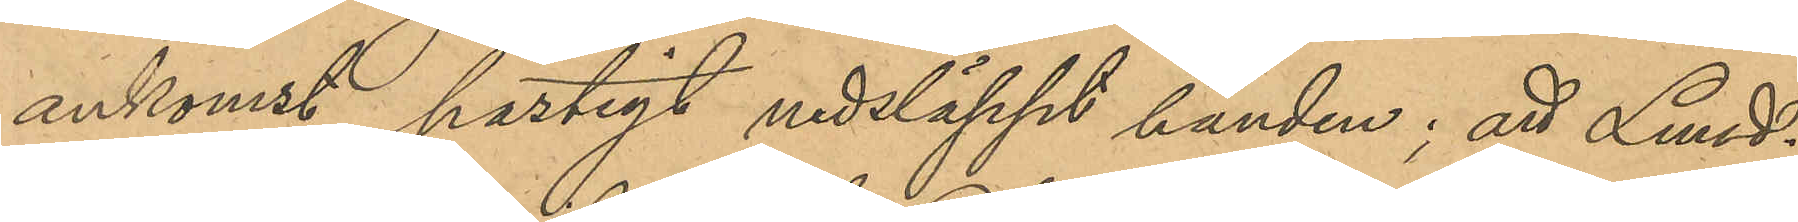ankomst hastigt nedsläppt handen; att Lund¬
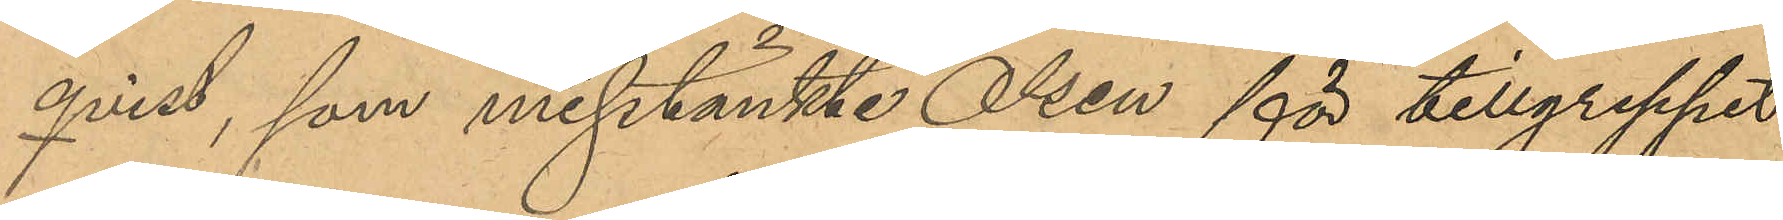qvist, som misstänkte Olsen för tillgreppet
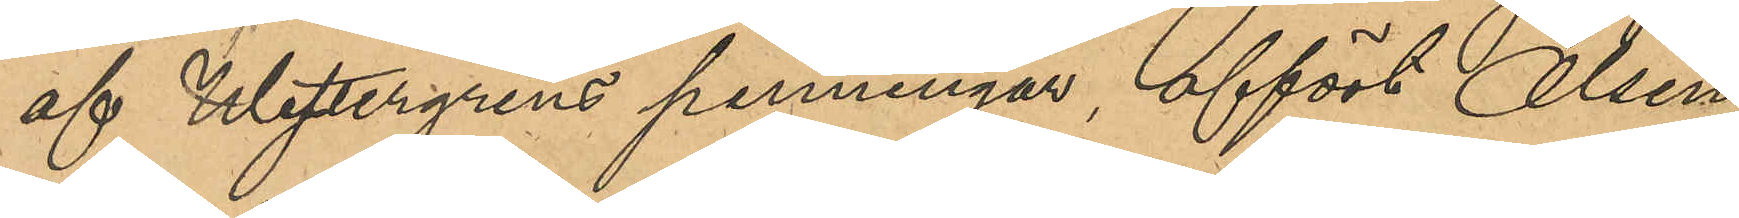af Westergrens penningar, affört Olsen
